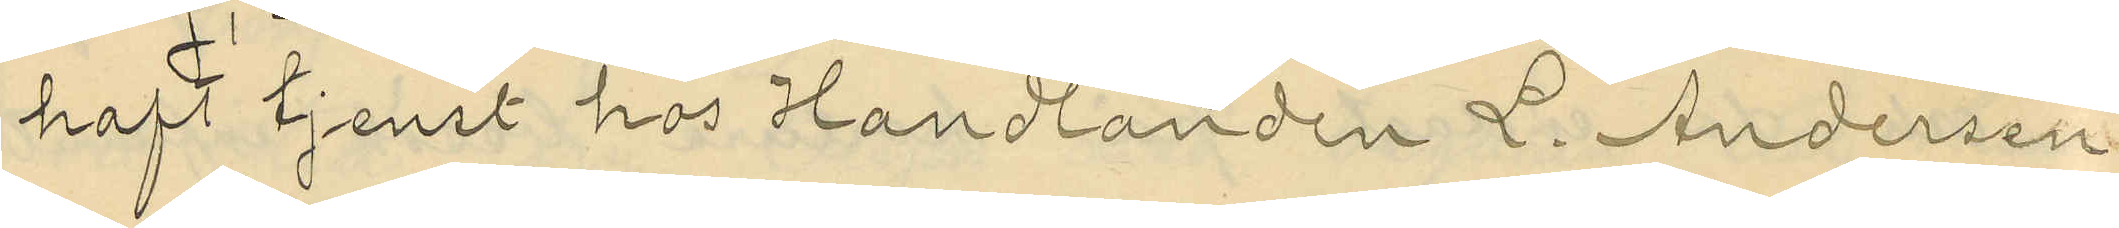haft tjenst hos Handlanden L. Andersson
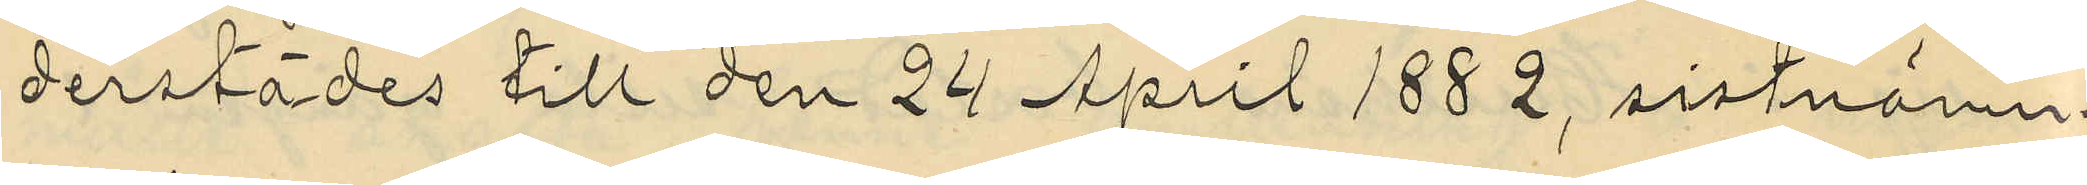derstädes till den 24 April 1882, sistnämn¬
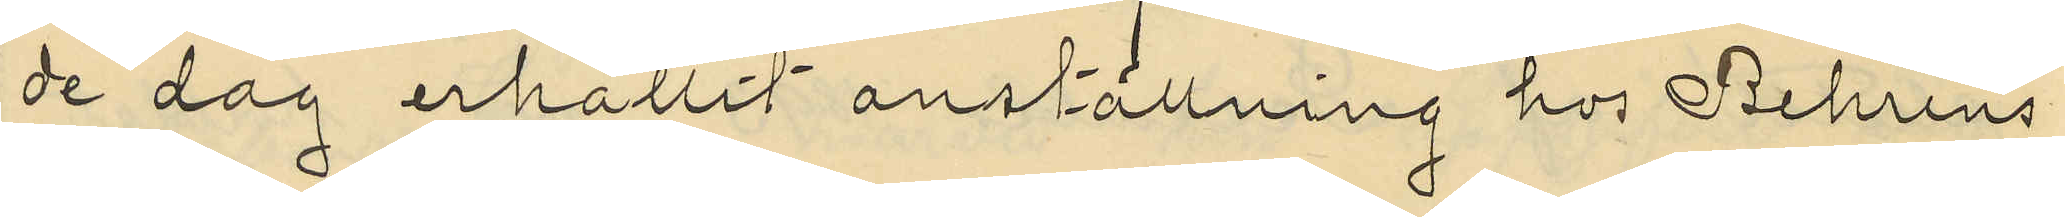de dag erhållit anställning hos Behrens,
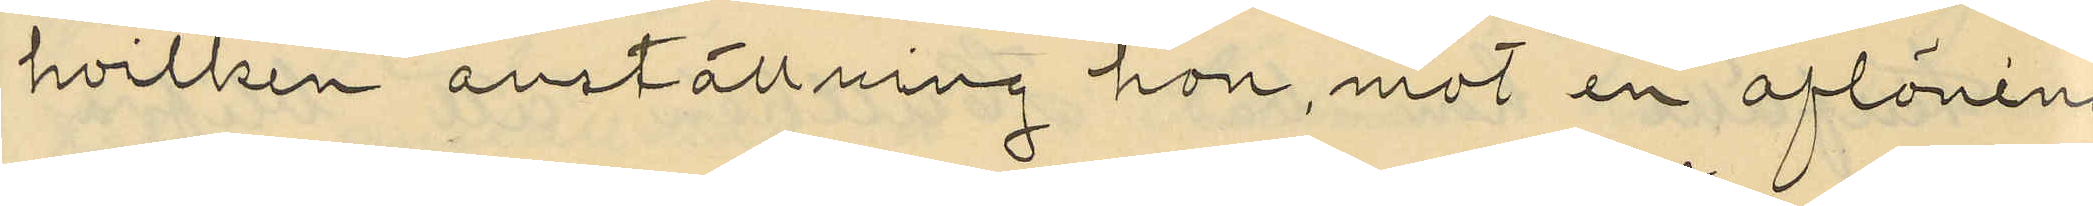hvilken anställning hon mot en aflöning
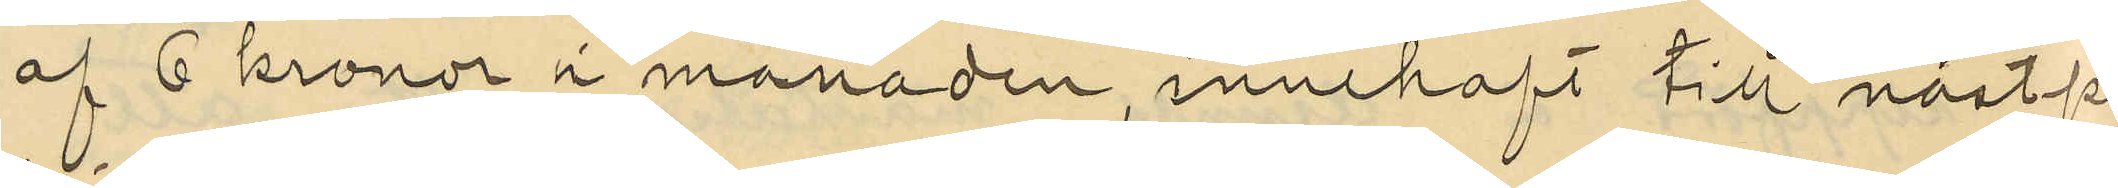af 6 kronor i månaden, innehaft till nästpå¬
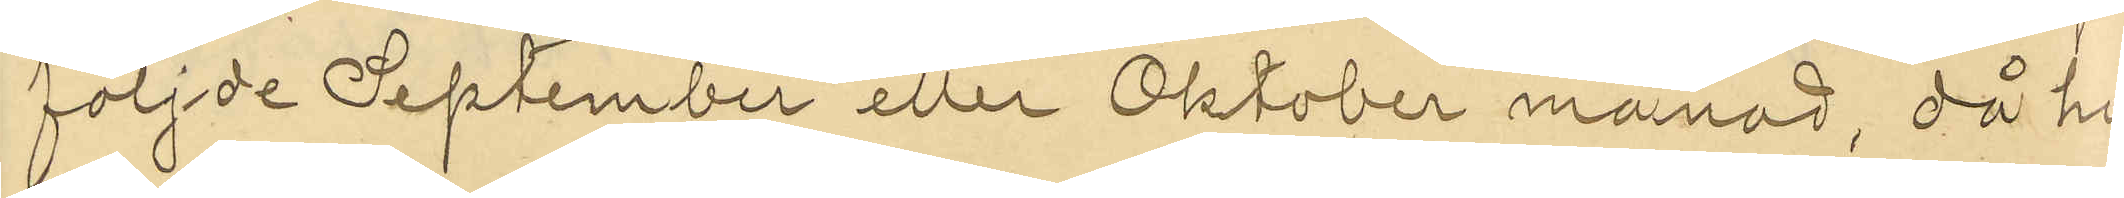följde September eller Oktober månad, då hon
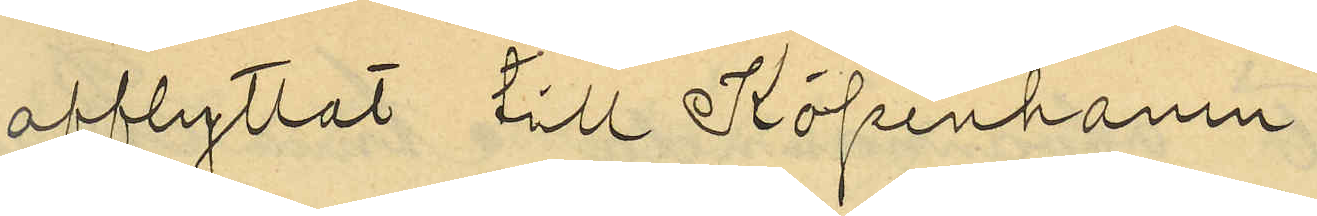afflyttat till Köpenhamn;
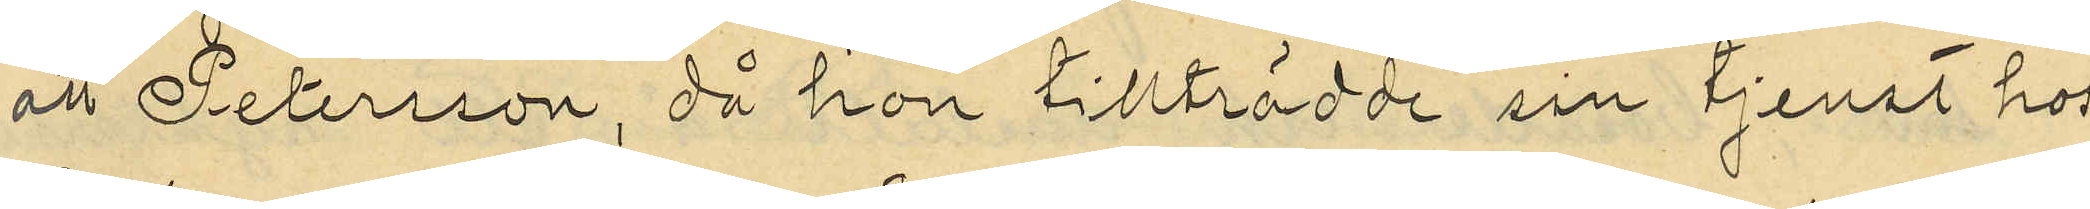att Petersson, då hon tillträdde sin tjenst hos
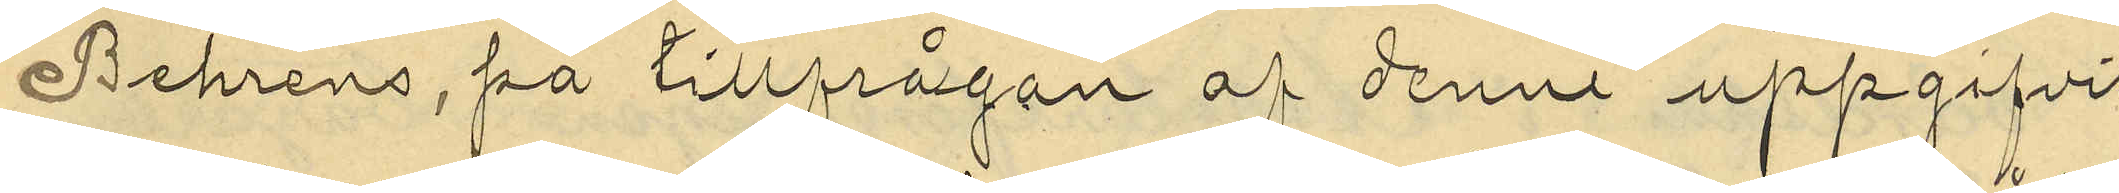Behrens, på tillfrågan af denne uppgifvit,
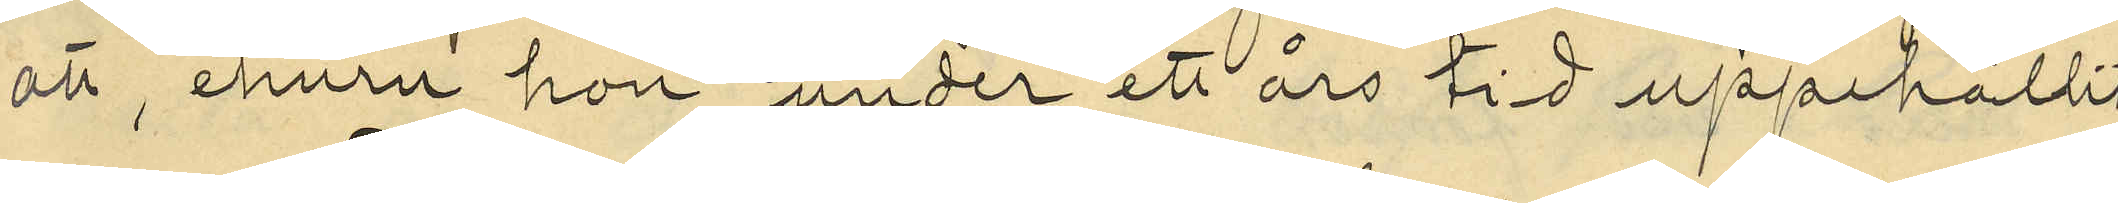att, huru hon under ett års tid uppehållit
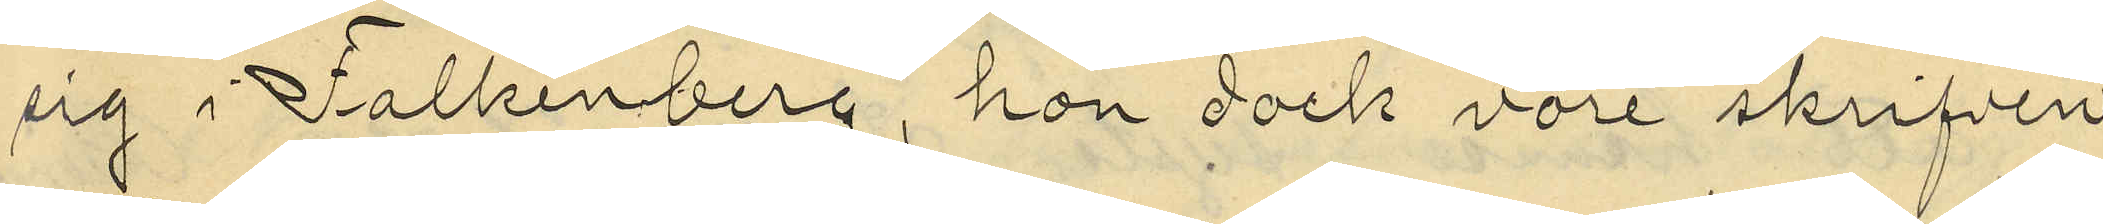sig i Falkenberg, hon dock vore skrifven
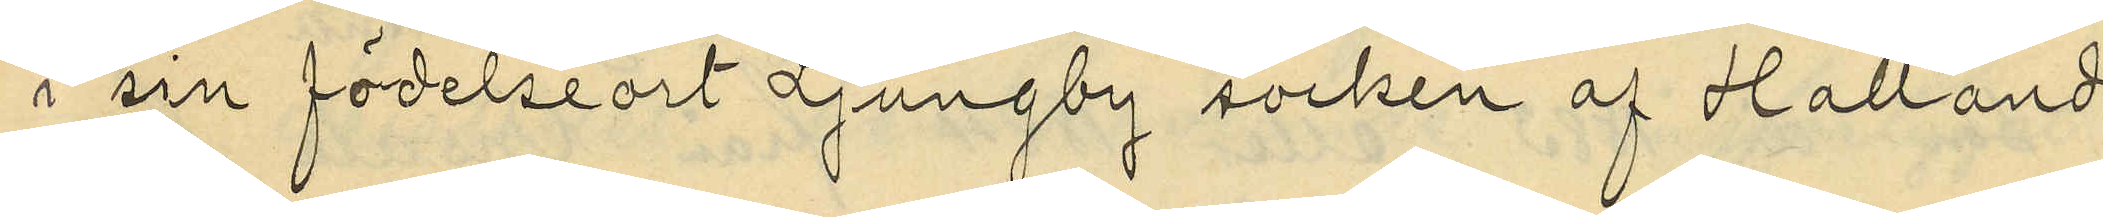i sin födelseort Ljungby socken af Hallands
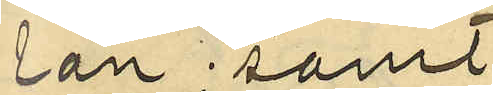län; samt
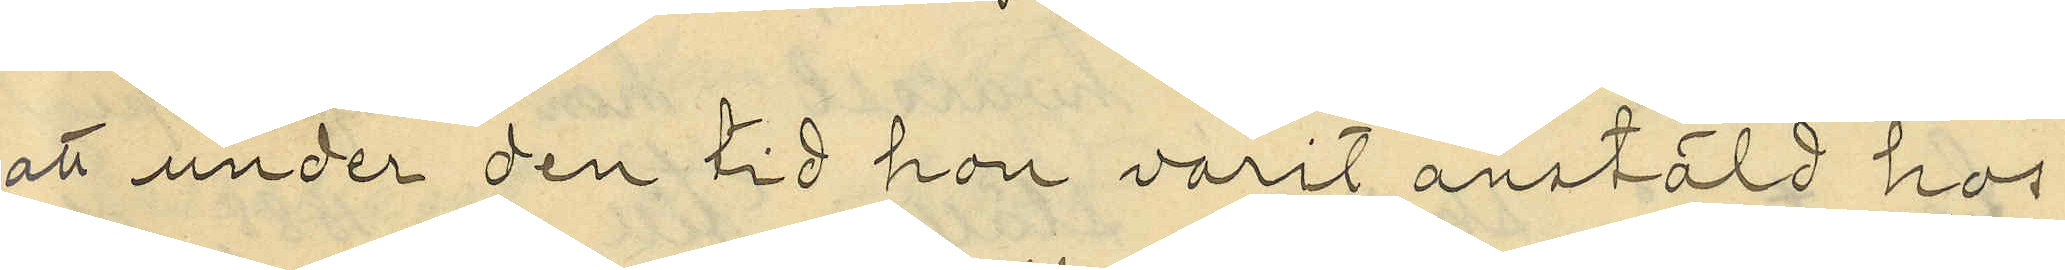att under den tid hon varit anstäld hos
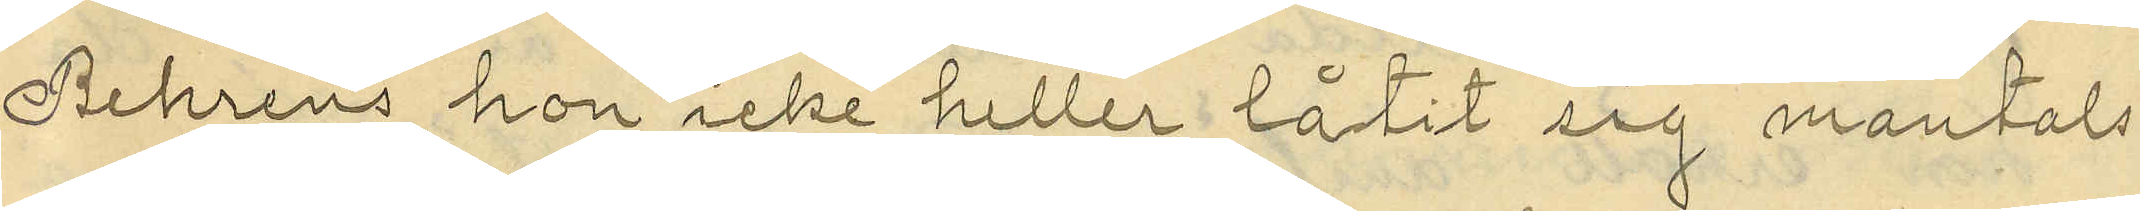Behrens, hon icke heller låtit mantals-
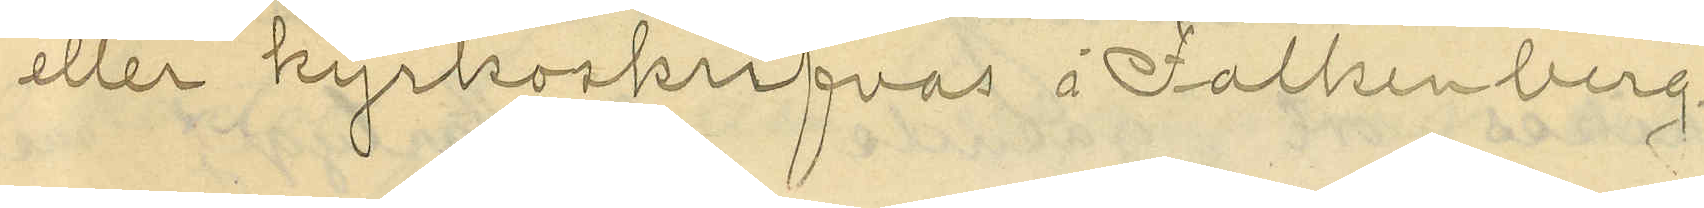eller kyrkoskrifvas i Falkenberg
